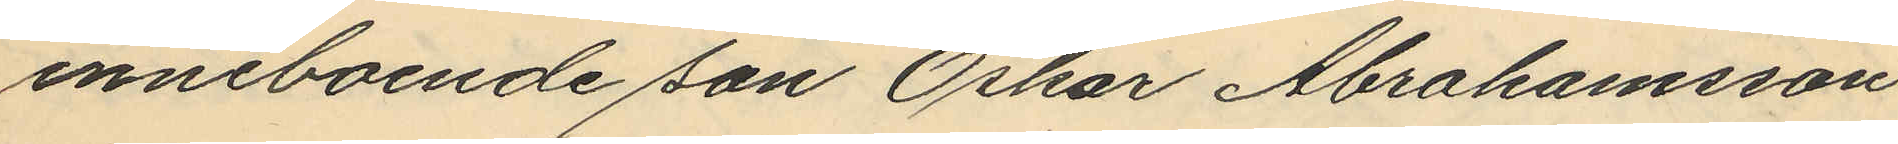inneboende son Oskar Abrahamsson
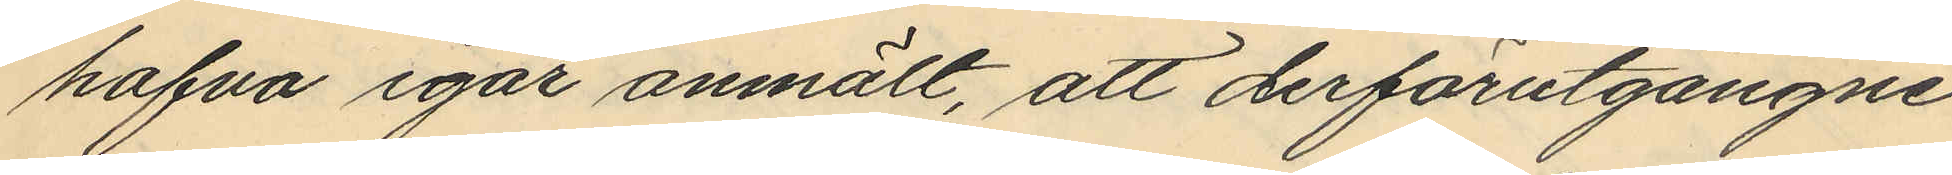hafva igår anmält, att derförutgångne
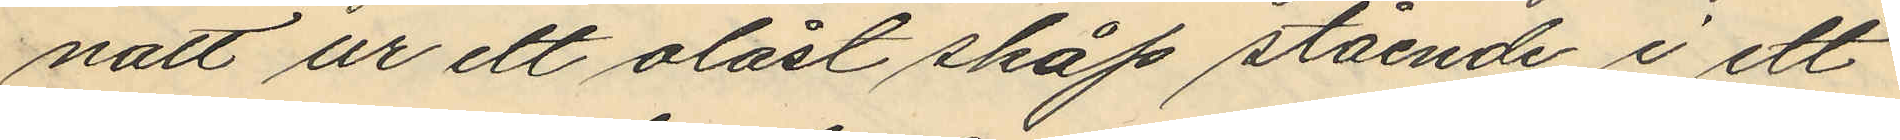natt ur ett olåst skåp stående i ett
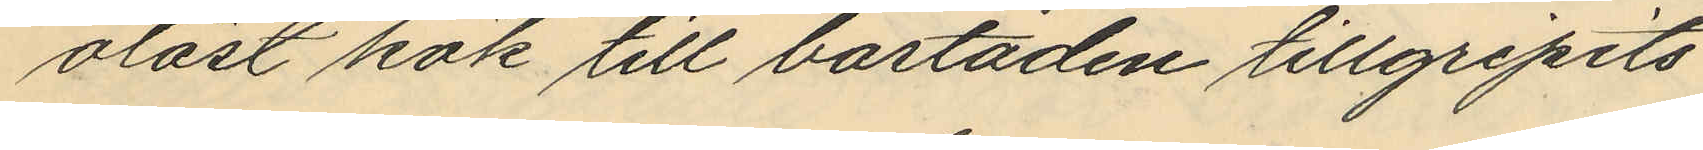olåst kök till bostaden tillgripits
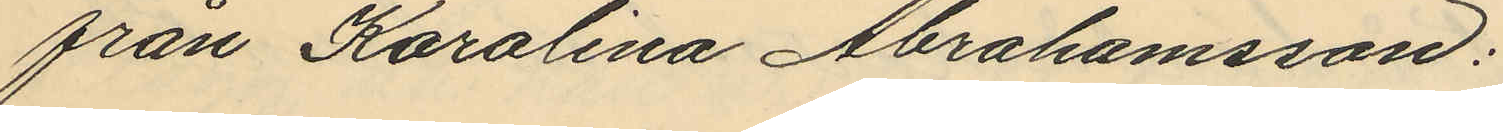från Karolina Abrahamsson:
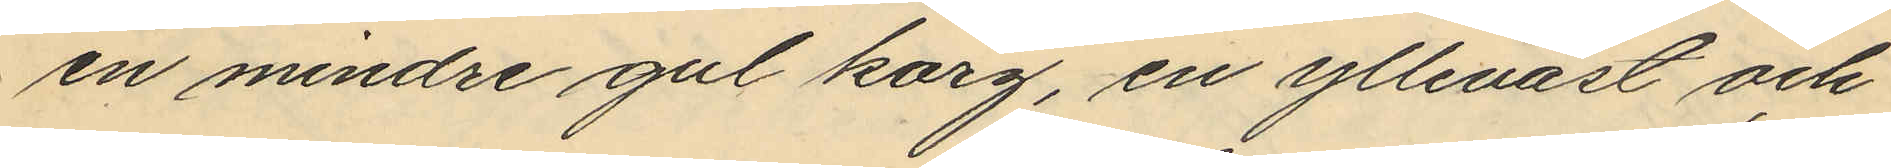en mindre gul korg, en ylleväst och
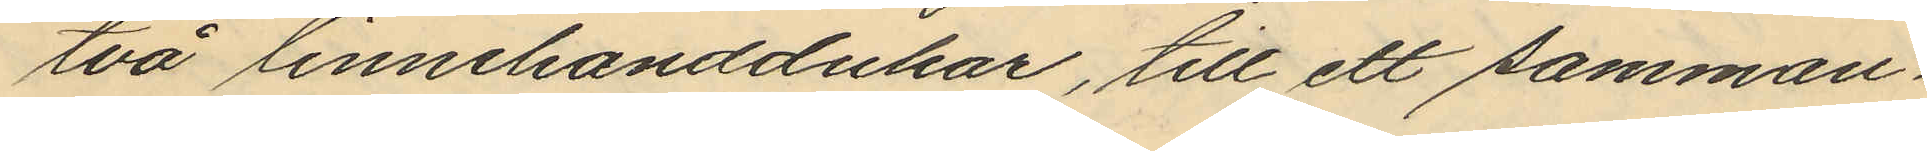två linnehanddukar, till ett samman¬
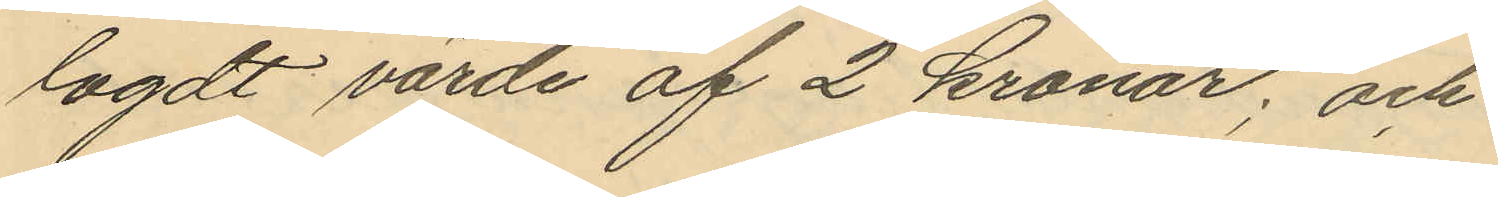lagdt värde af 2 kronor; och
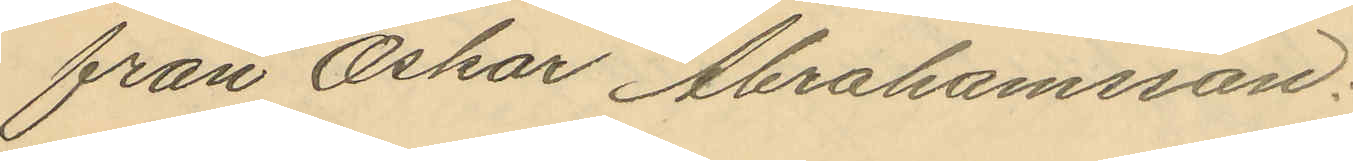från Oskar Abrahamsson:
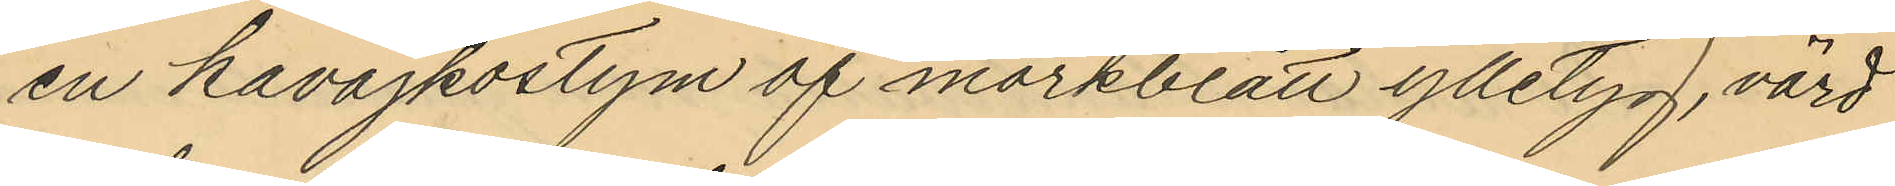en kavajkostym af mörkblått ylletyg, värd
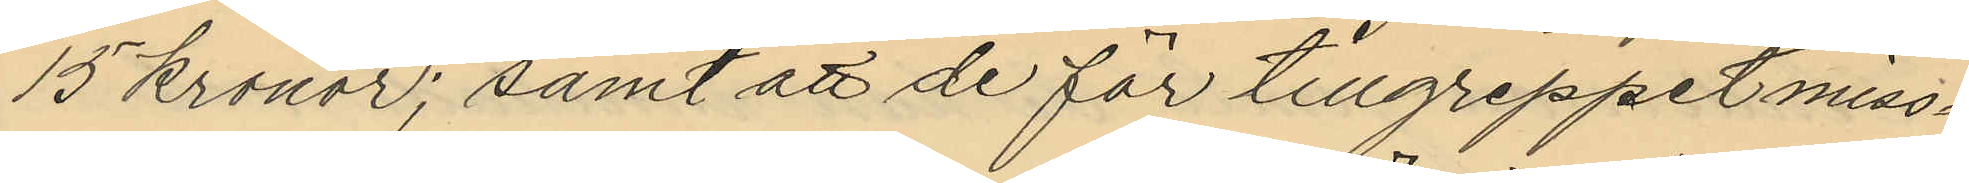15 kronor; samt att de för tillgreppet miss¬
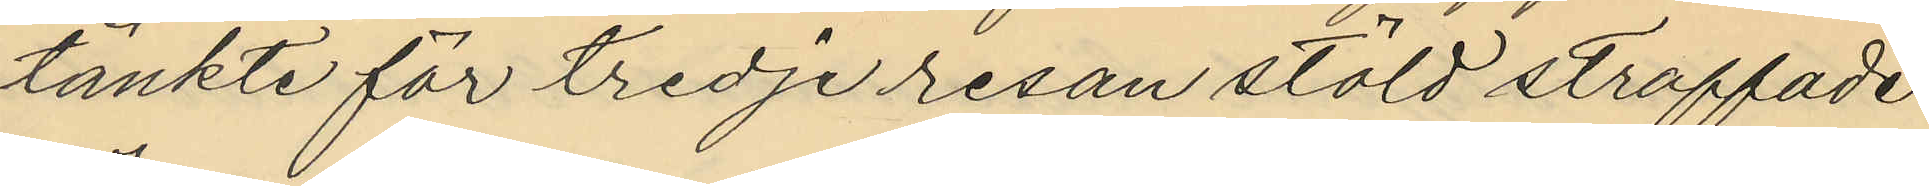tänkte för tredje resan stöld straffade
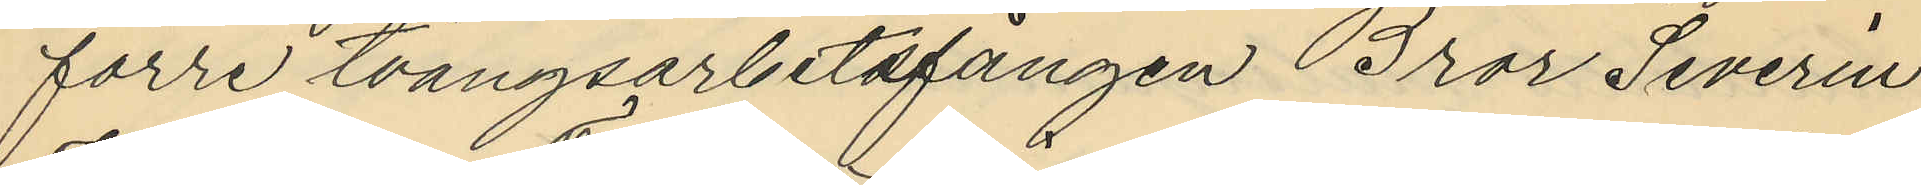förre tvångsarbetsfången Bror Severin
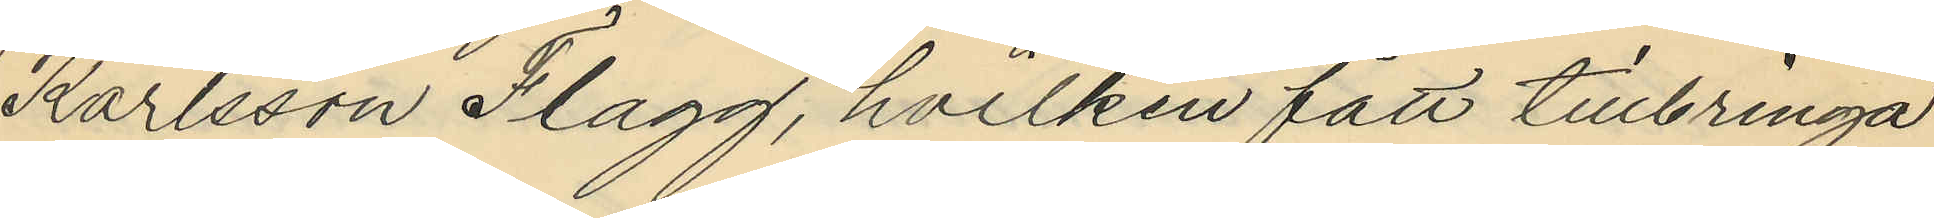Karlsson Flagg, hvilken fått tillbringa
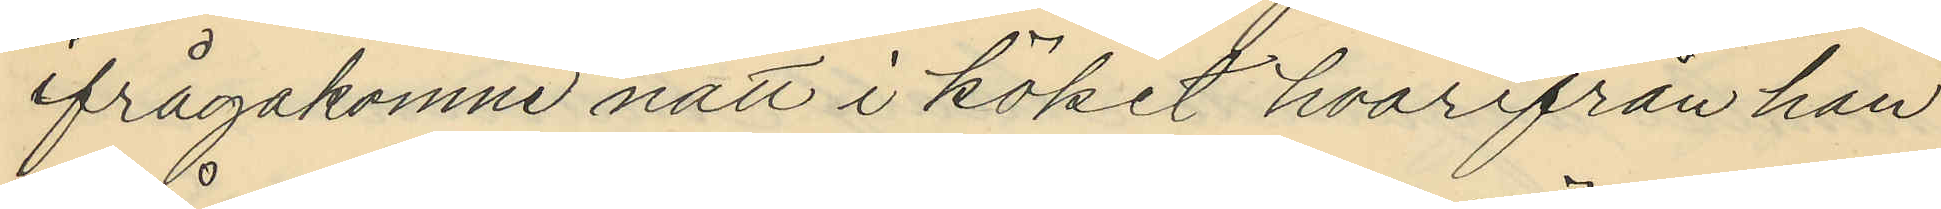ifrågakomne natt i köket hvarifrån han
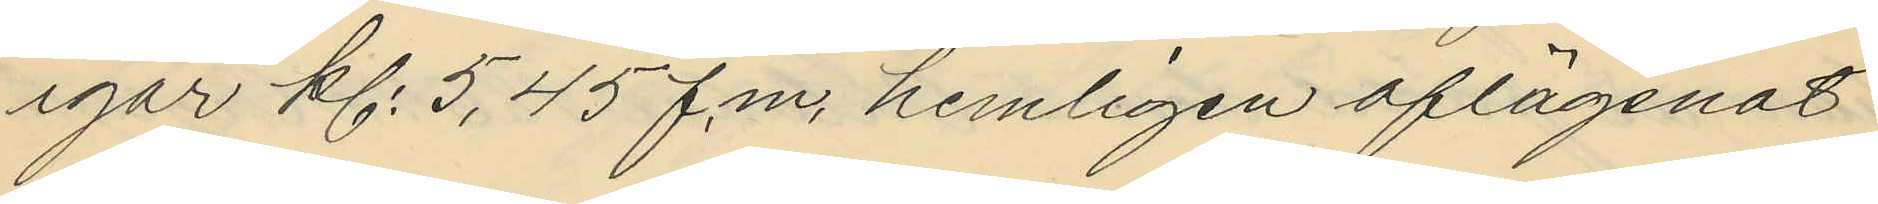igår kl. 5,45 f.m. hemligen aflägsnat
